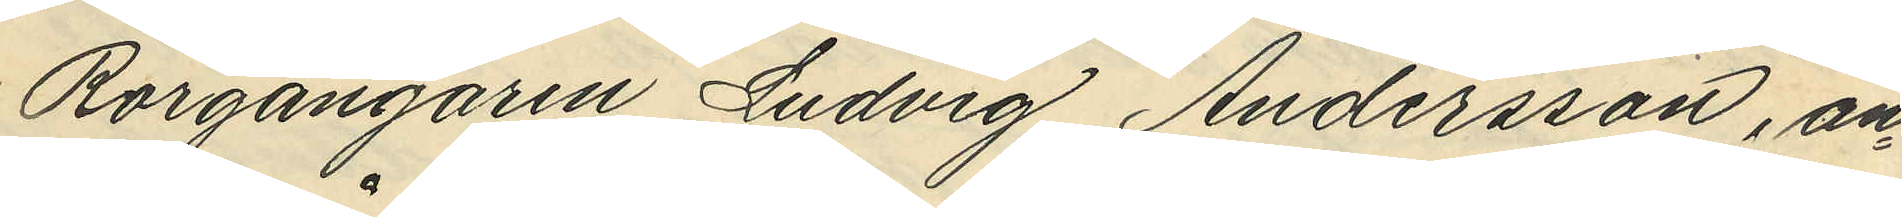Rorgängaren Ludvig Andersson, an¬
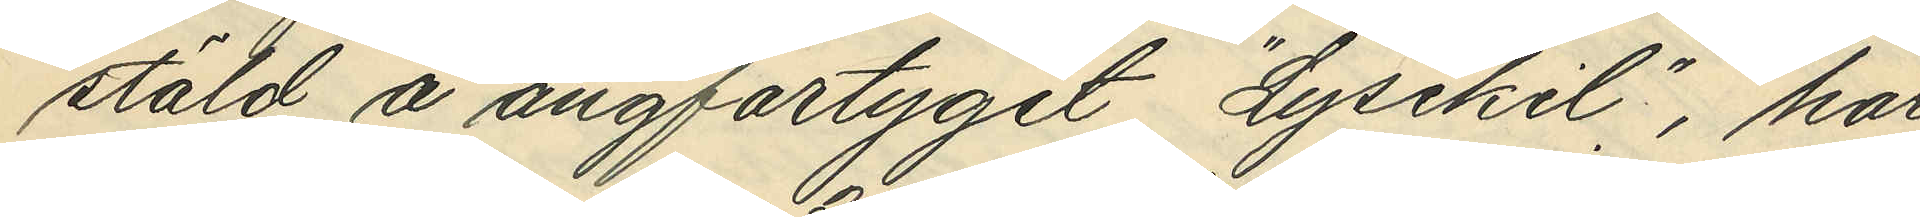stäld å ångfartyget "Lysekil" , har
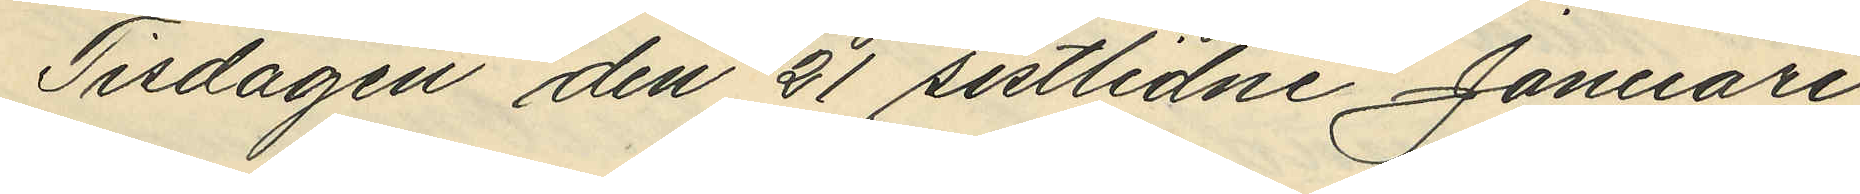Tisdagen den 21 sistlidne Januari
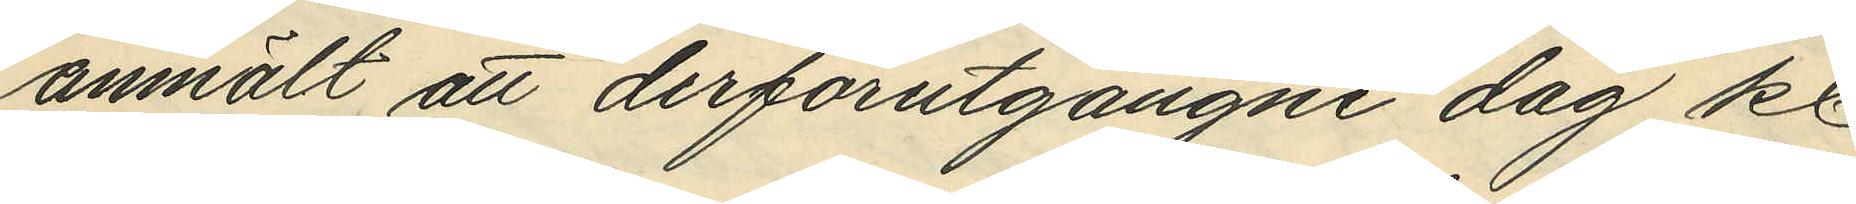anmält att derförutgångne dag kl.
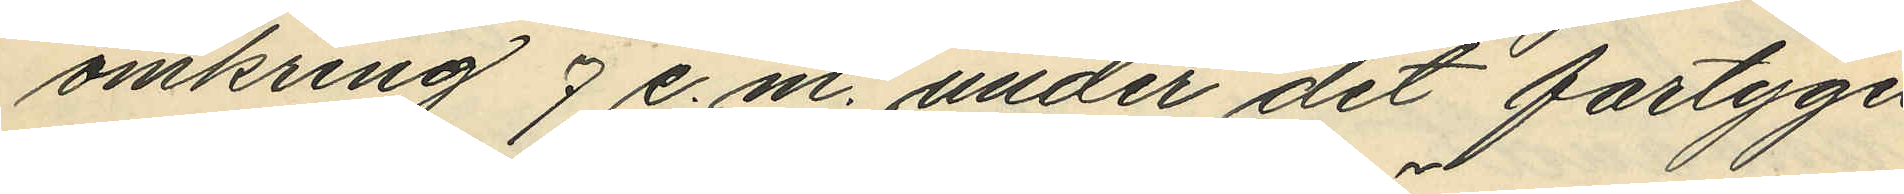omkring 7 e. m. under det fartyget
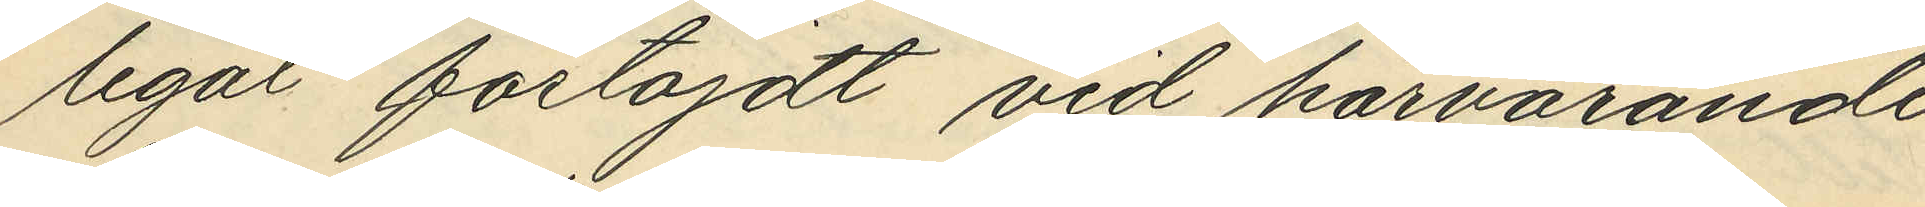legat förtöjdt vid härvarande
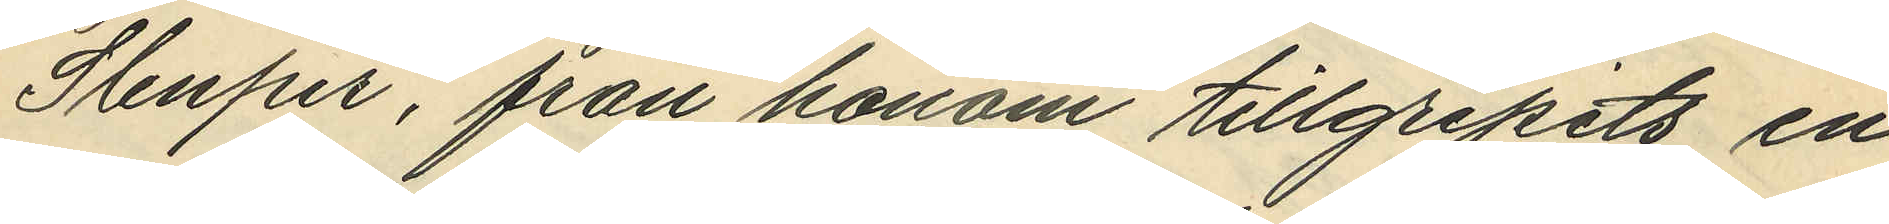Stenpir, från honom tillgripits en
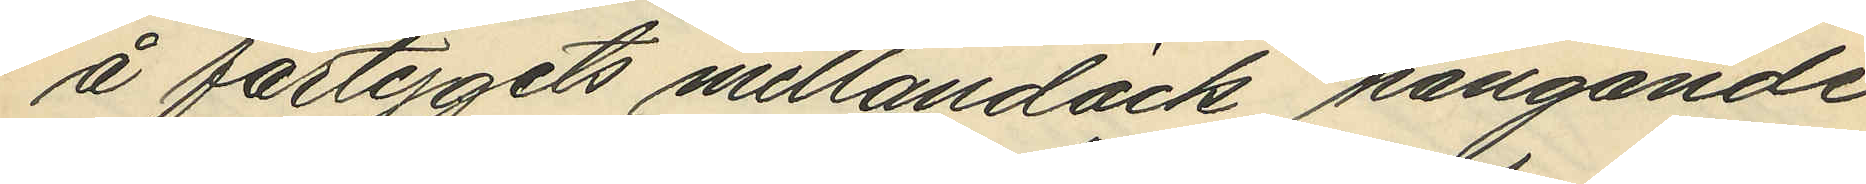å fartygets mellandäck hängande
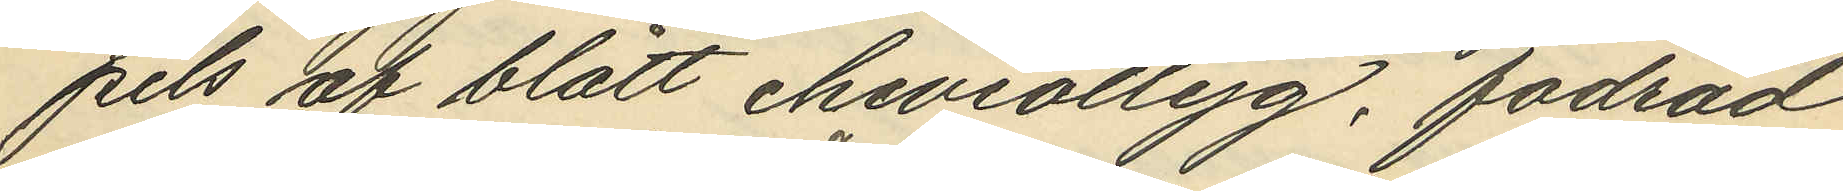pels af blått cheviottyg, fodrad
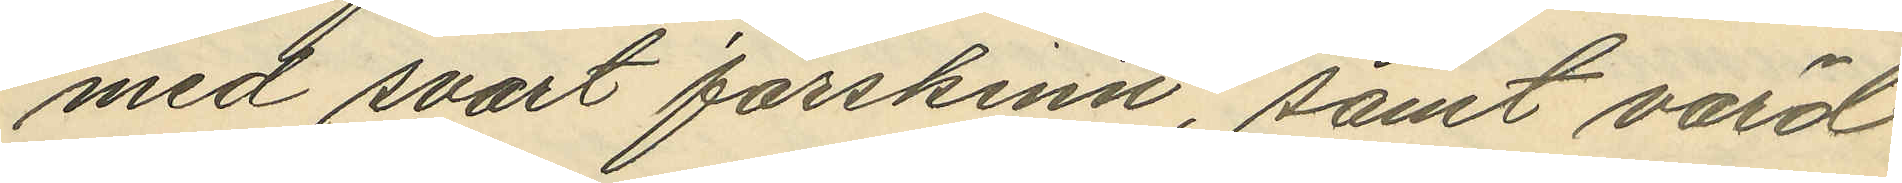med svart fårskinn, samt värd
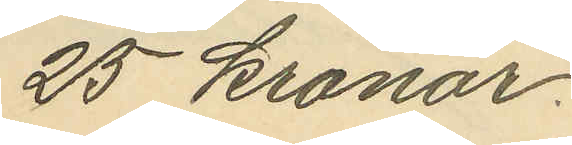25 Kronor.
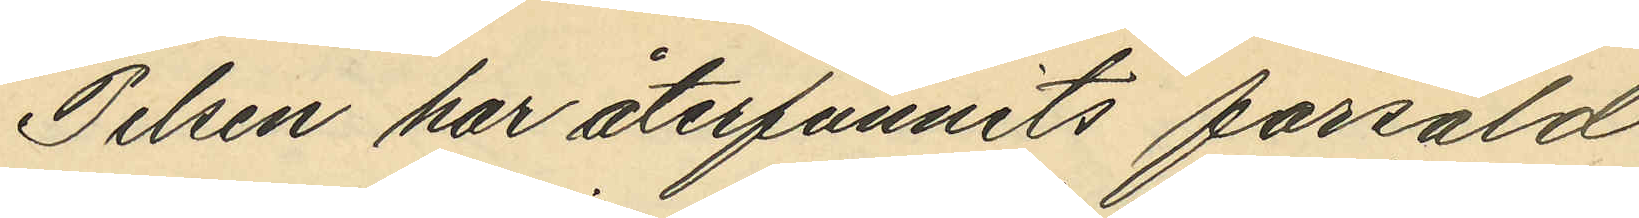Pelsen har återfunnits försåld
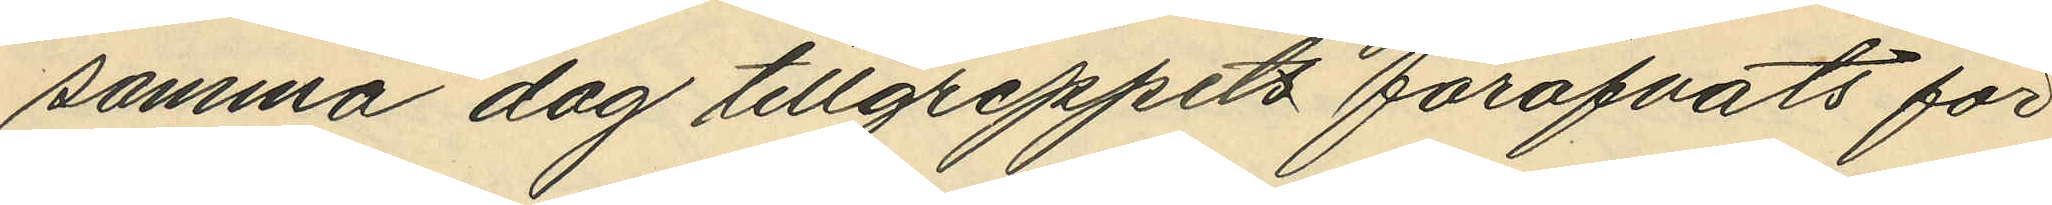samma dag tillgreppets föröfvats för
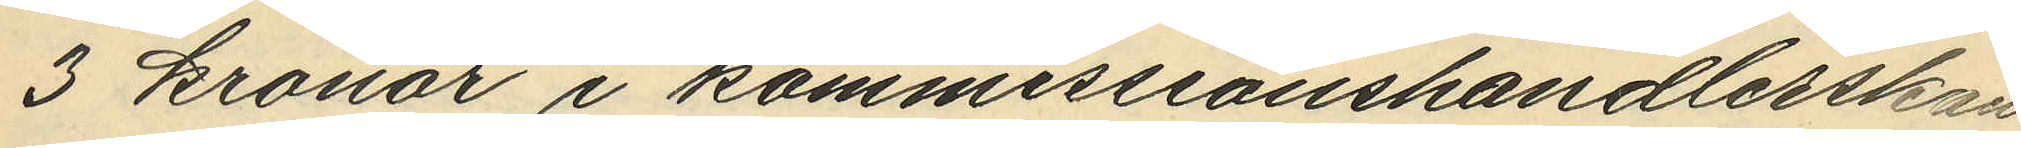3 kronor i kommissionshandlerskan
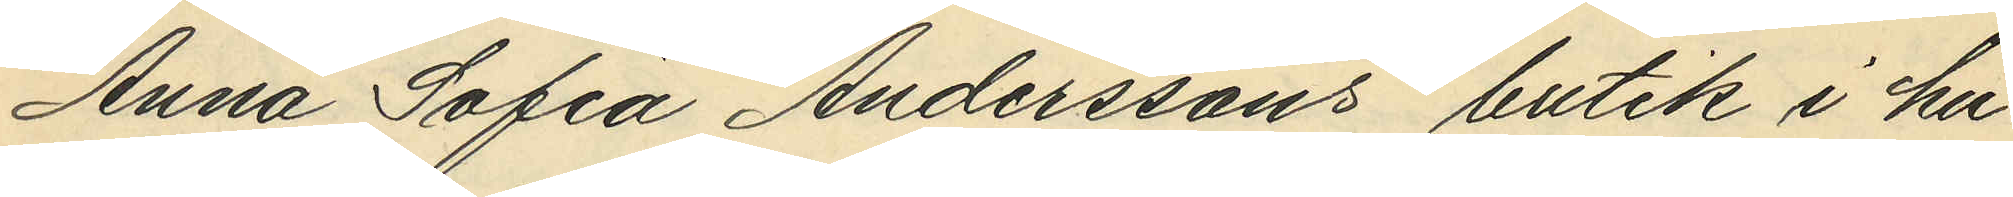Anna Sofia Anderssons butik i hu¬
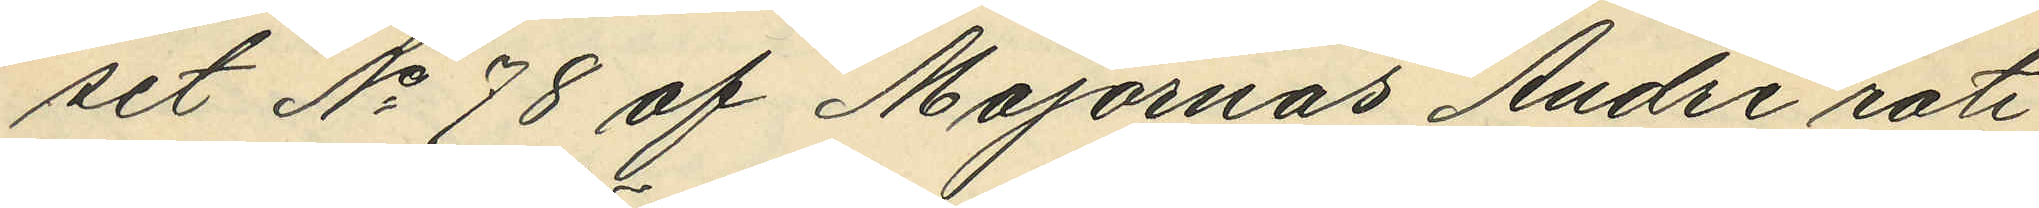set No 78 af Majornas Andre rote
